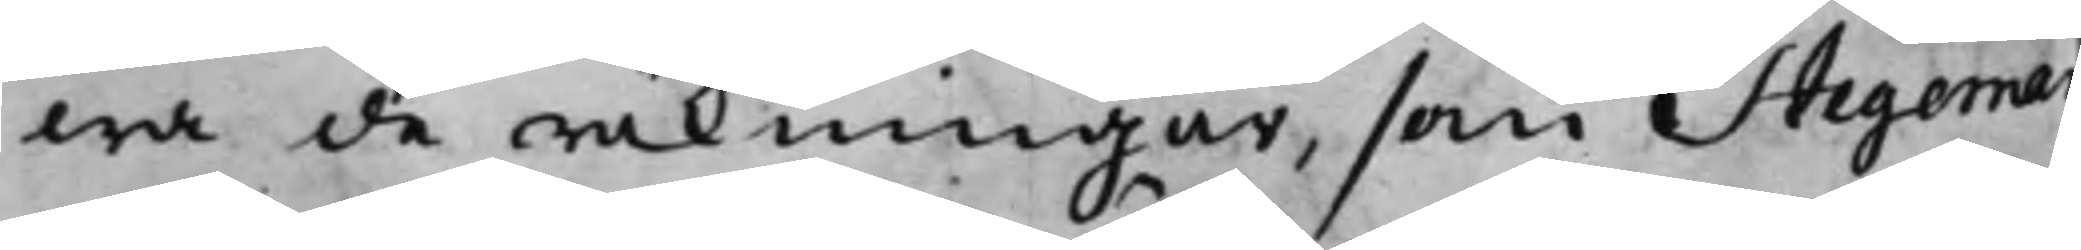wa de räkningar, som Stegeman
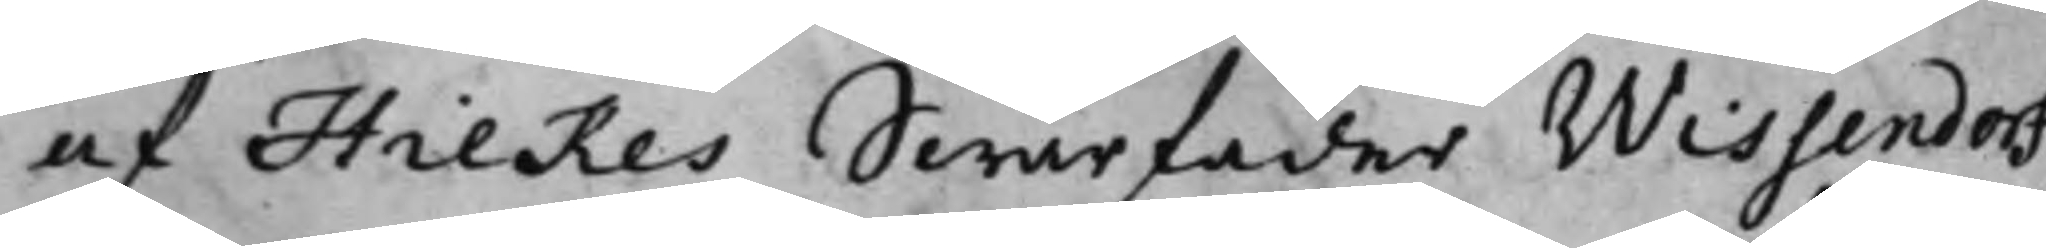af Hilkes Swärfader Wissendorf
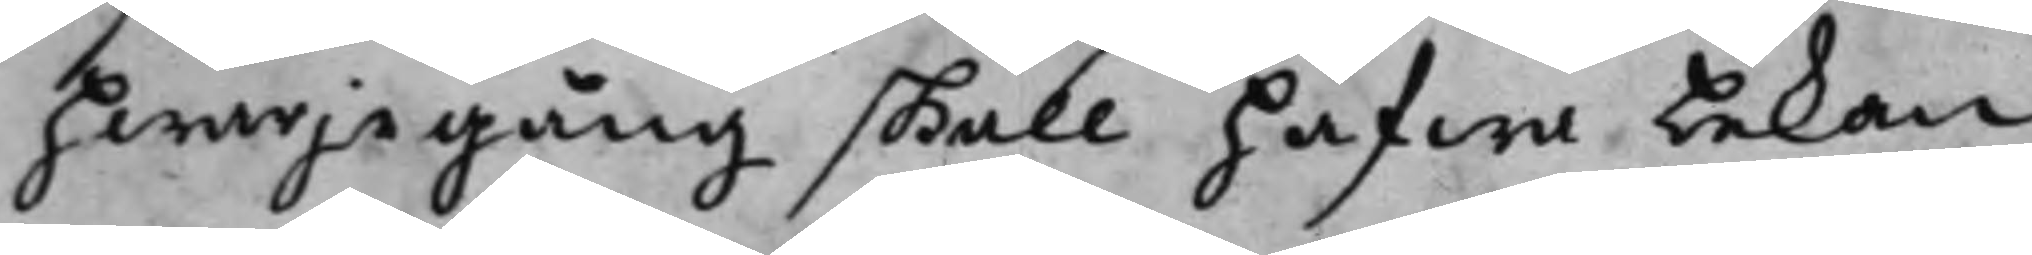hwarje gång skall hafwa bekom¬
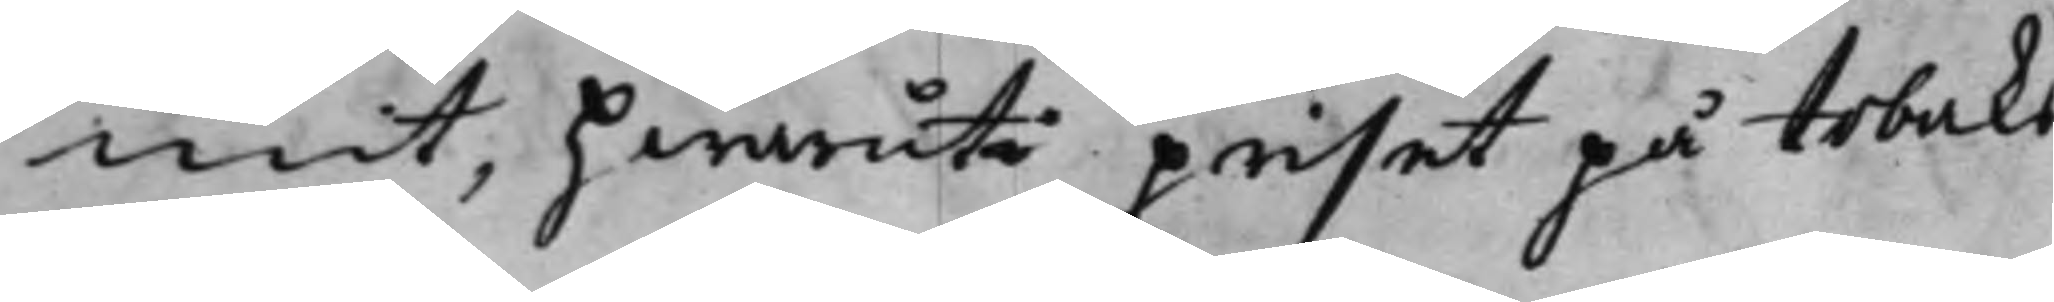mit, hwaruti priset på tobaks
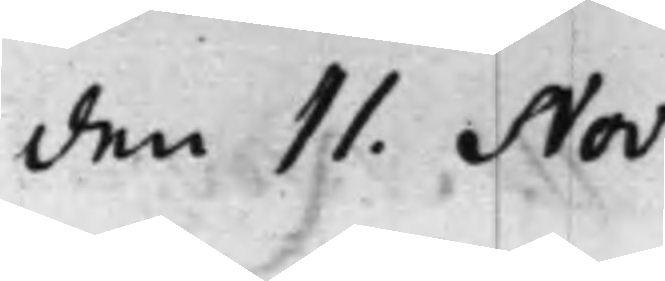den 11. Nov:
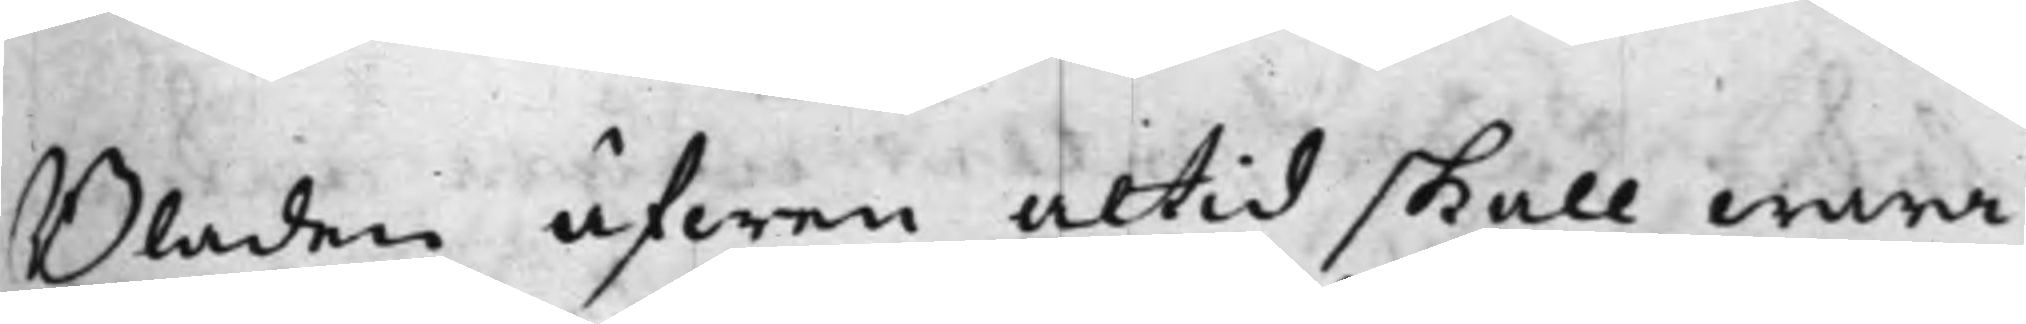Bladen äfwen altid skall wara
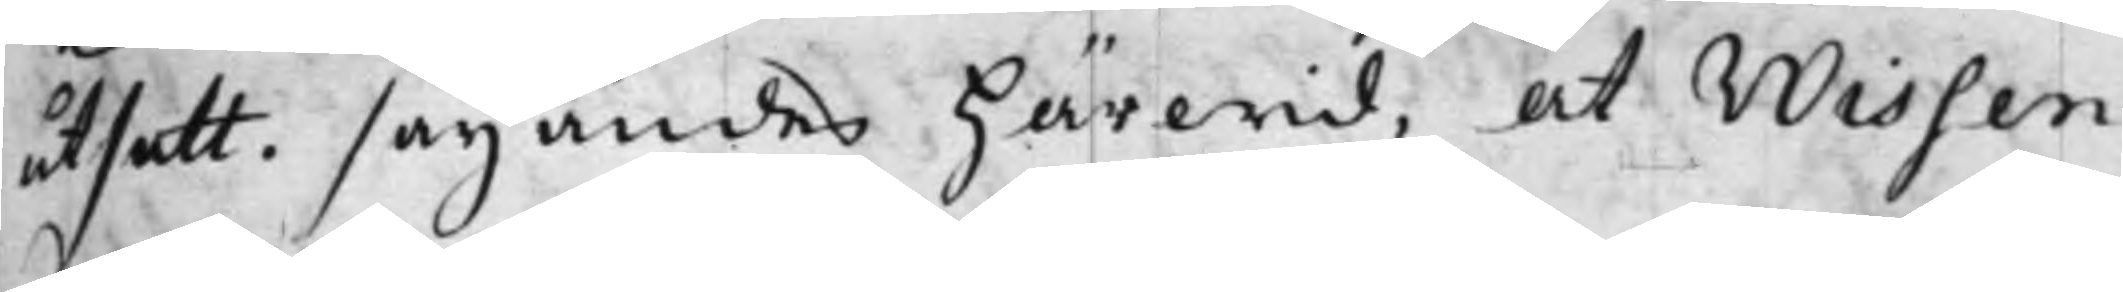utsatt. säyandes Härwid, at Wissen¬
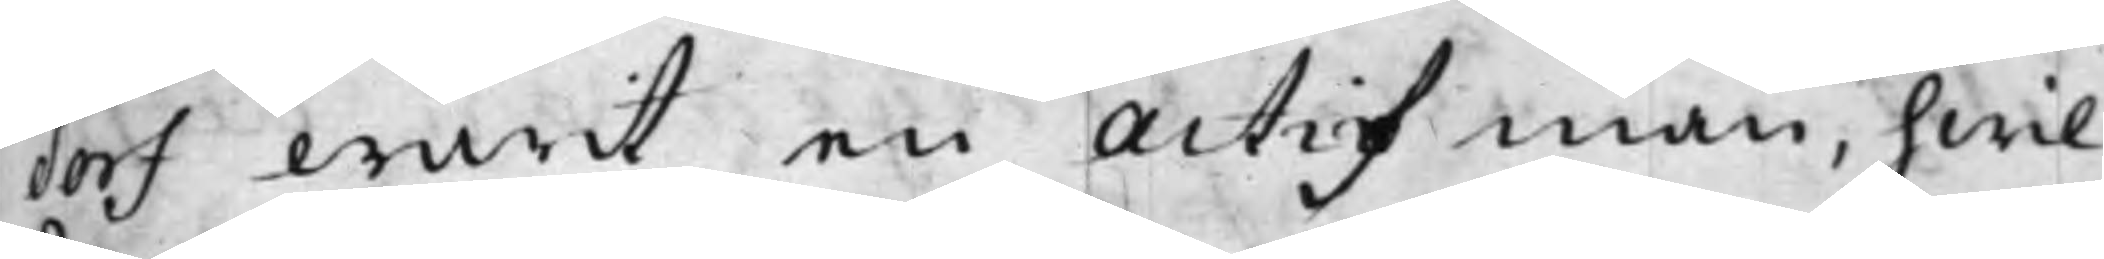dorf warit en Actif man, hwil¬
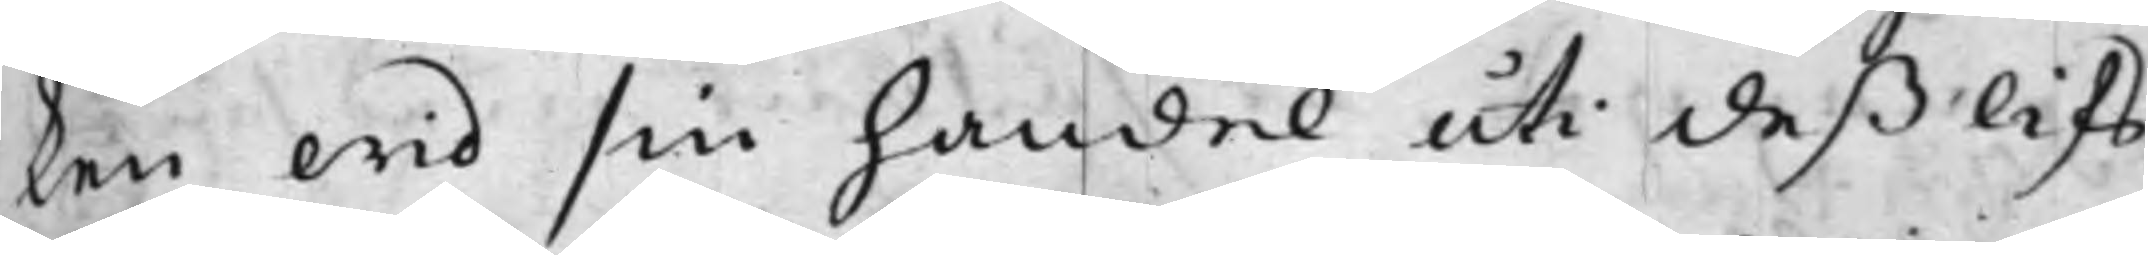ken wid sin handel uti deß lifs¬
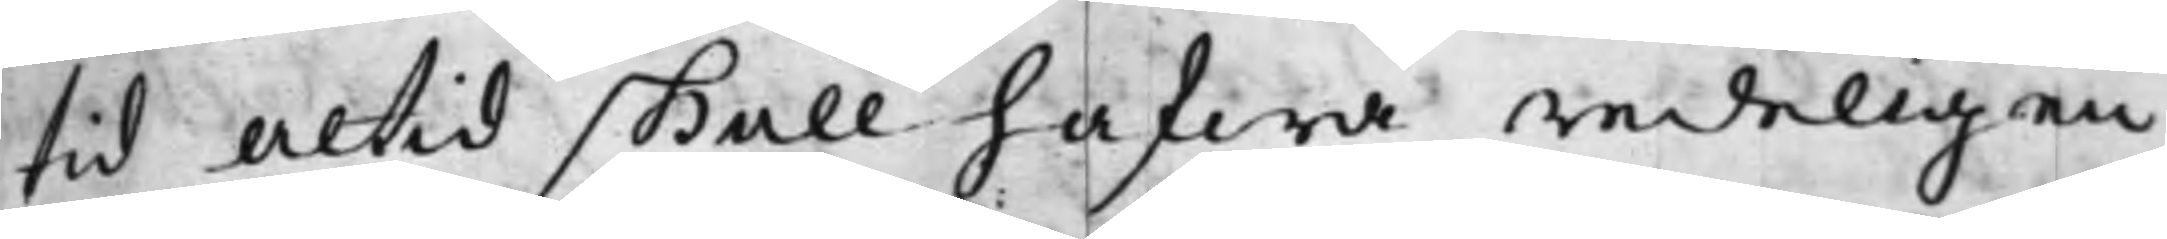tid altid skall hafwa redeligen
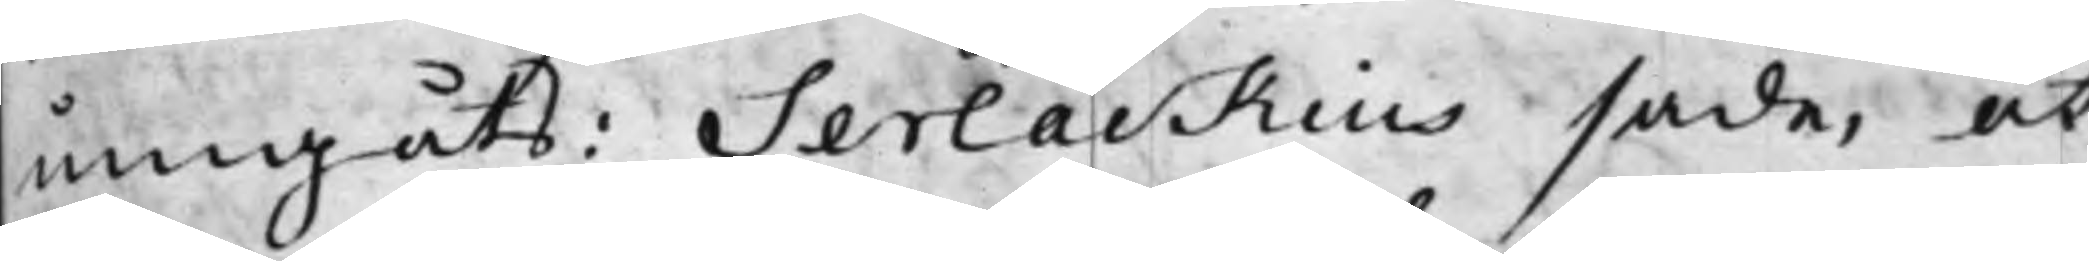umgåts: Serlackius sade, at
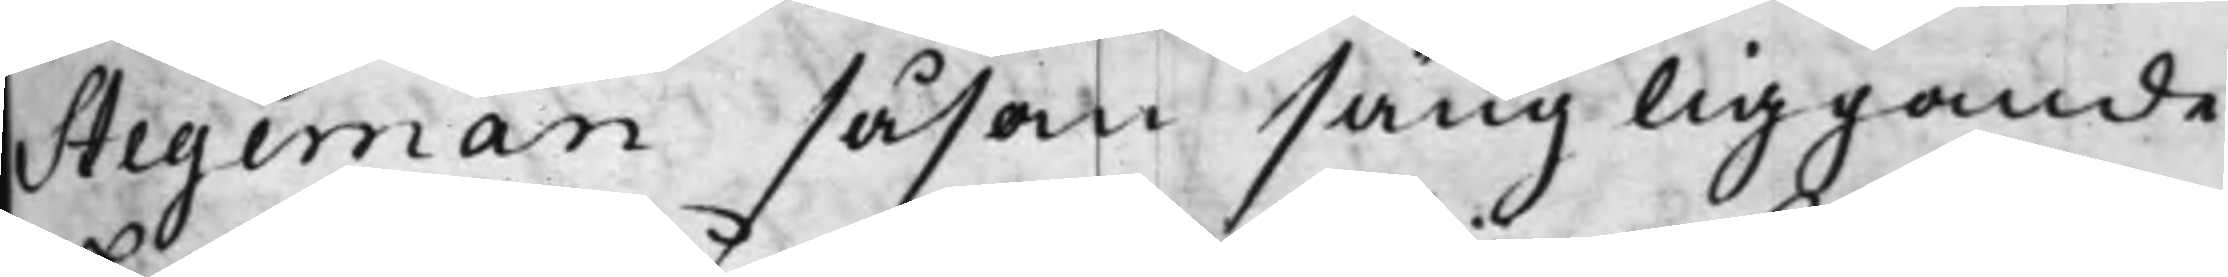Stegeman såsom sängliggande
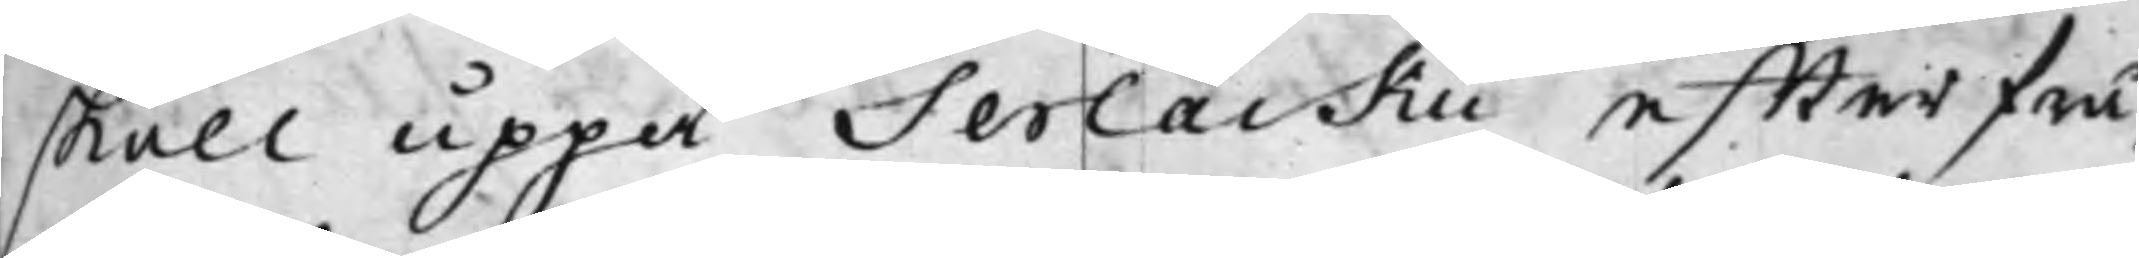skall uppå Serlackii effterfrå¬
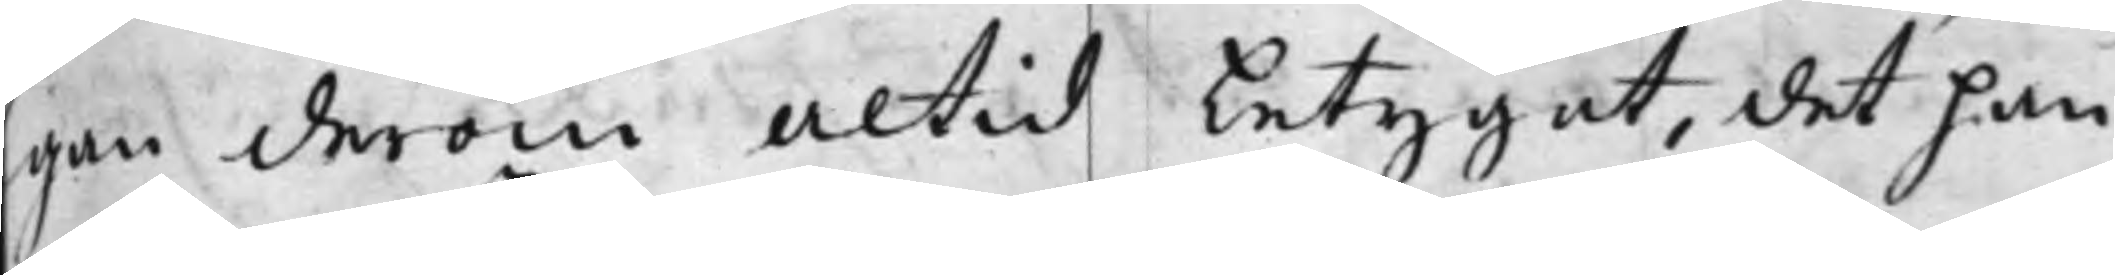gan derom altid betygat, det han
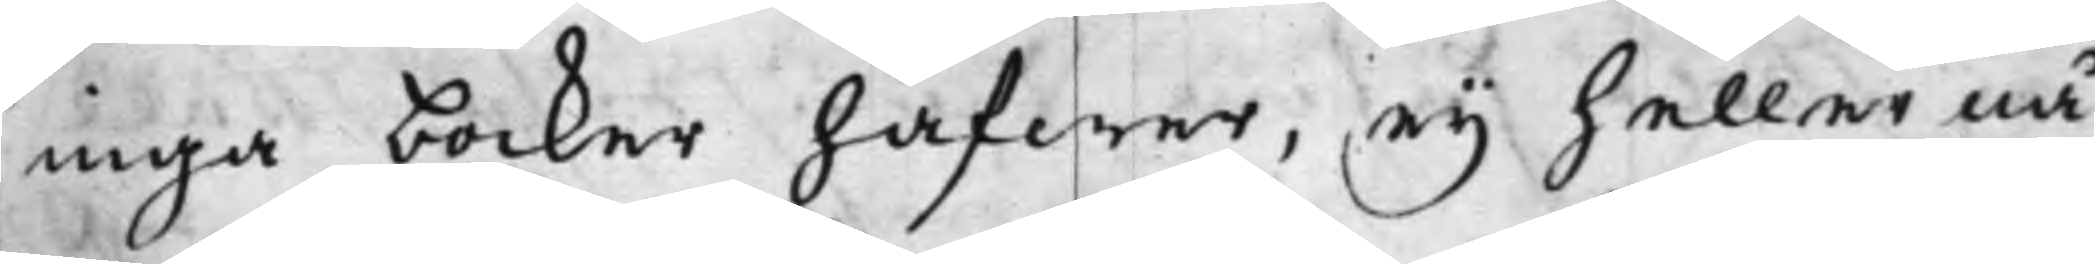inga böcker hafwer, ey heller nå¬
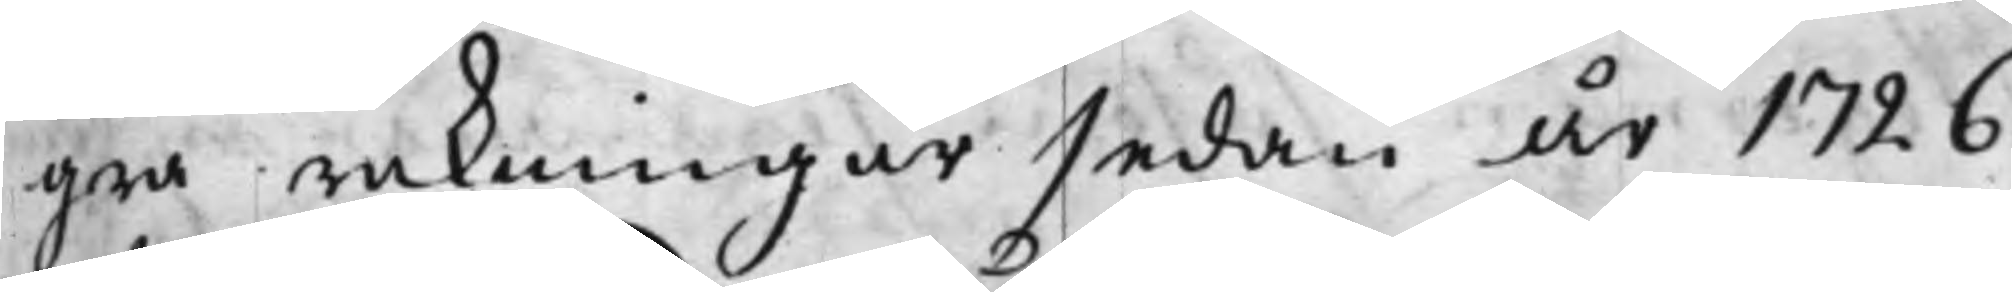gra räkningar sedan år 1726.
